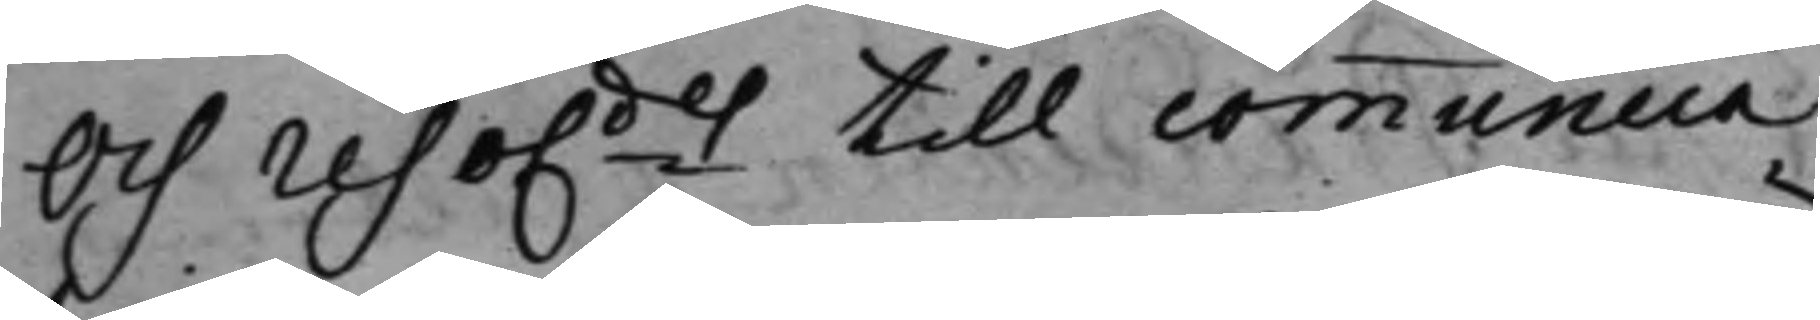Och reso.des till communica¬
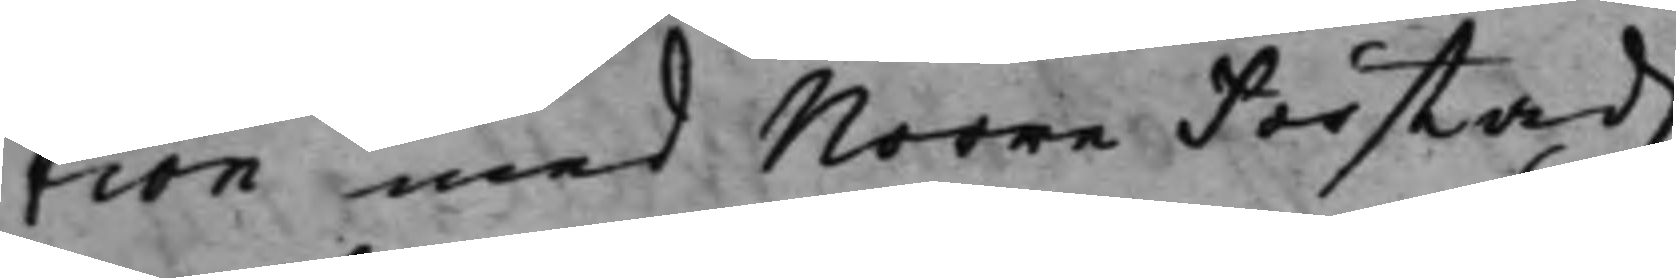tion med Norre Förstadz
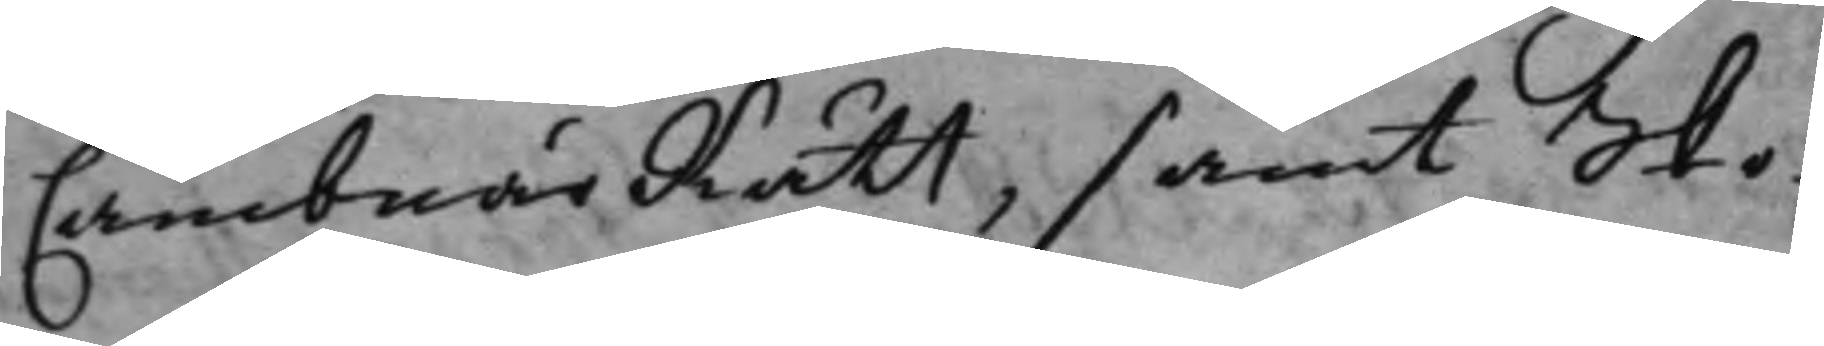CambnärRätt, samt Sko¬
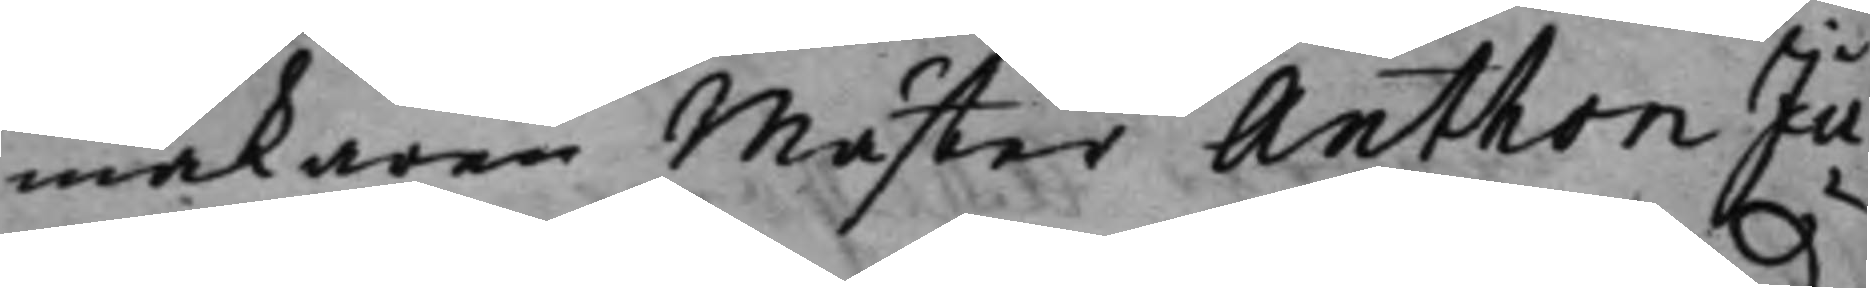makaren Mäster Anthon Ju¬
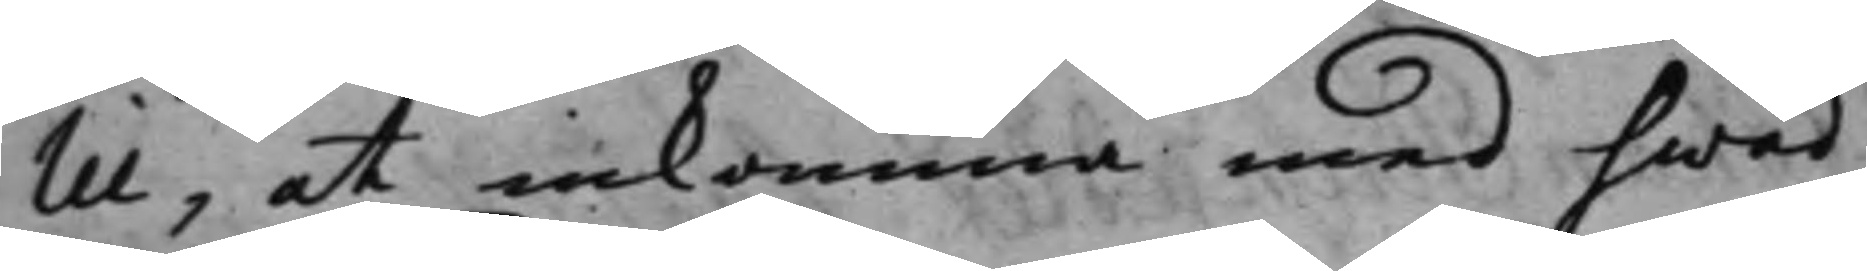lii, at inkomma med hwad
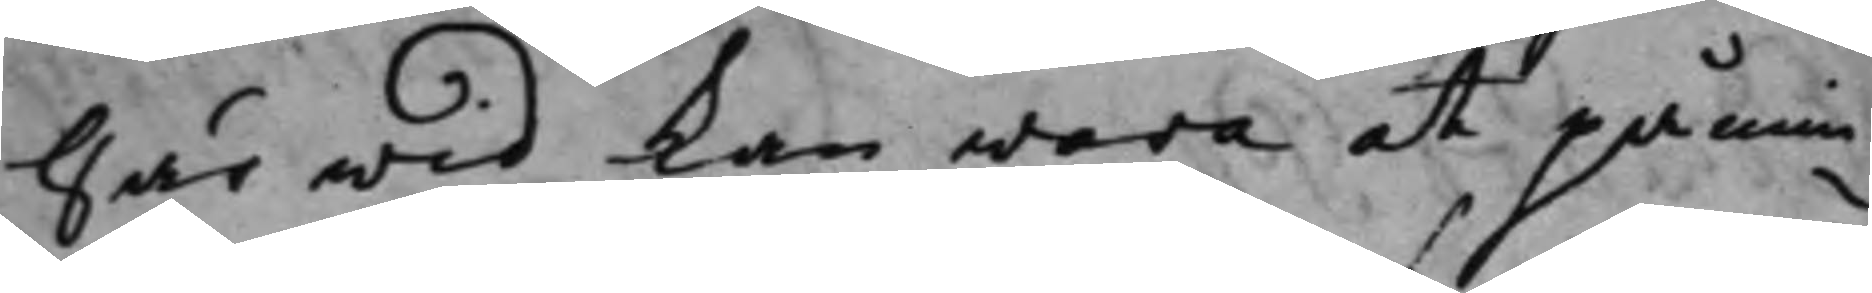här wid kan wara at påmin¬
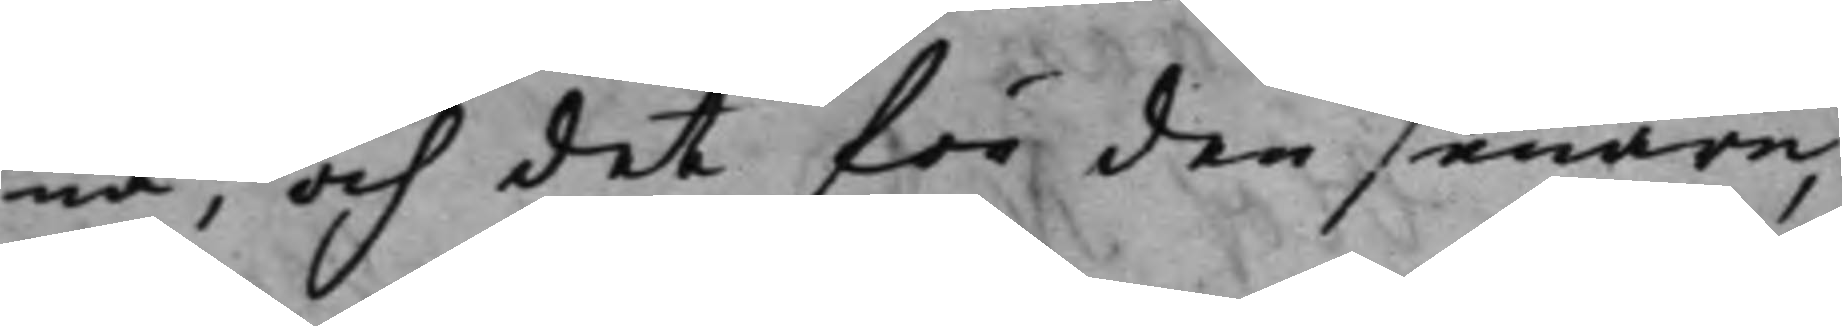na, och det för den senare
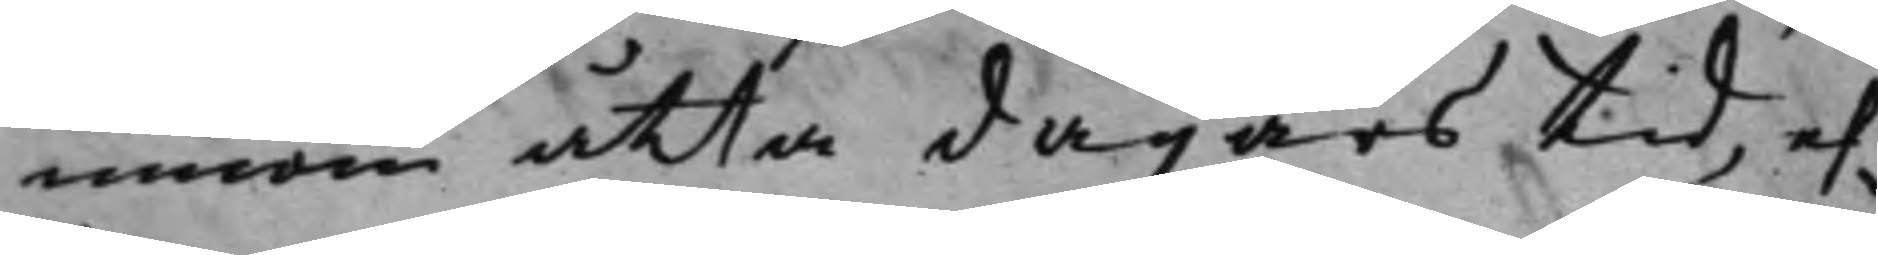innom åtta dagars tid, ef¬
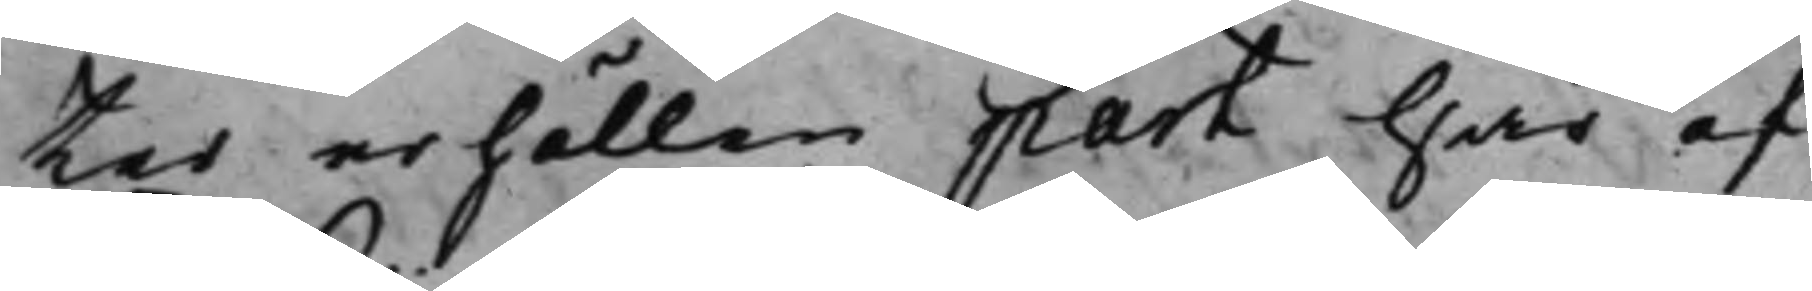ter erhållen part här af
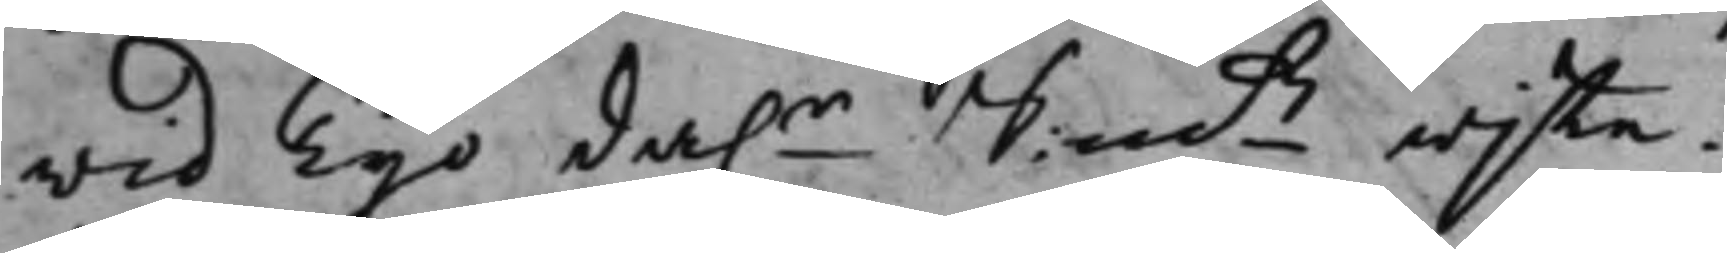wid Tijo da.r S:mtz wijte.
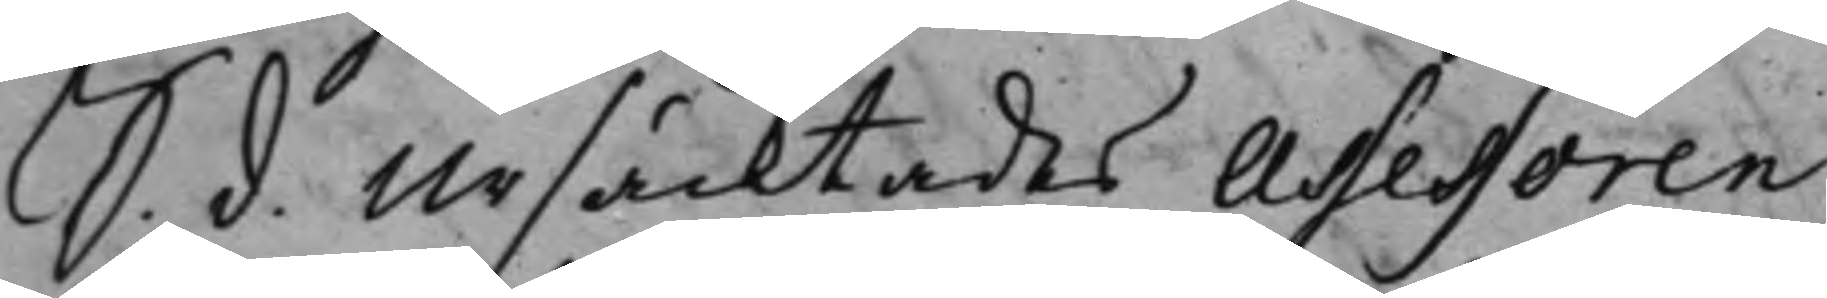S. d. Ursäcktades Assessoren
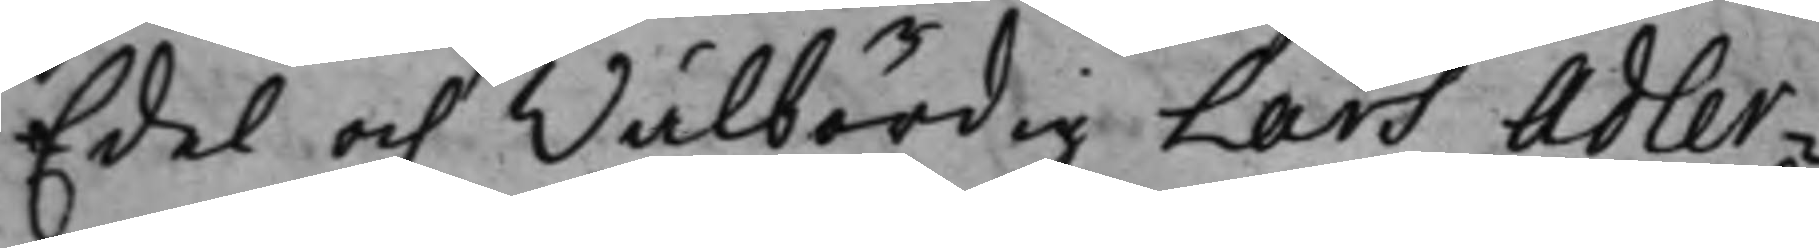Edel och Wälbördig Lars Adler¬
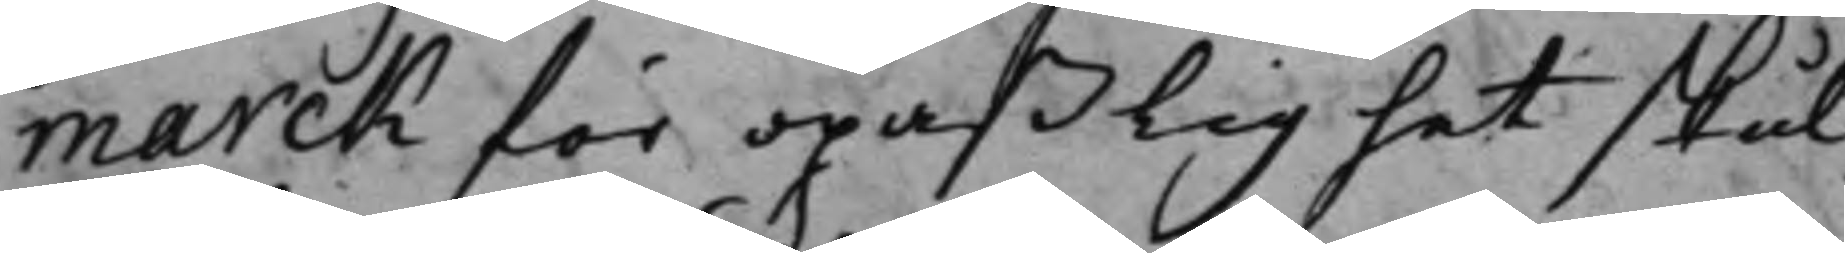marck för opaßlighet skul.
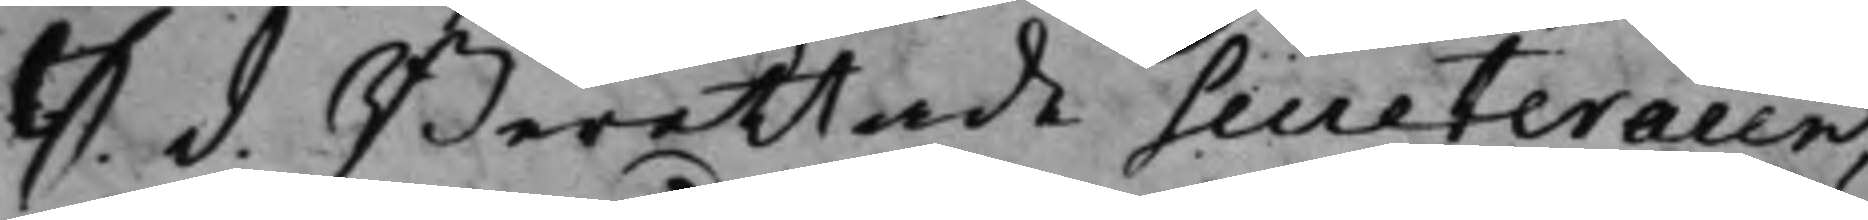S. d. Berättade Secreteraren,
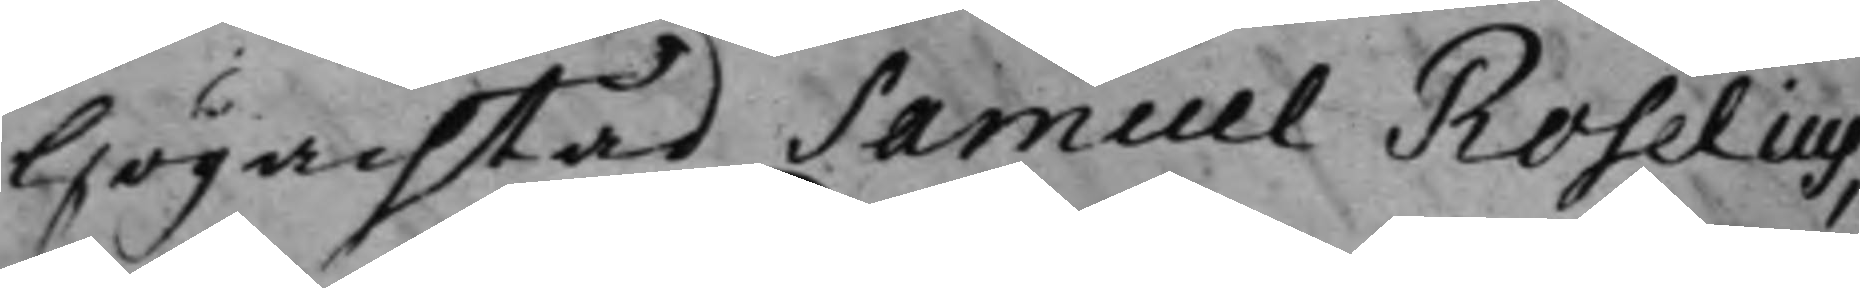Högachtad Samuel Roselius,
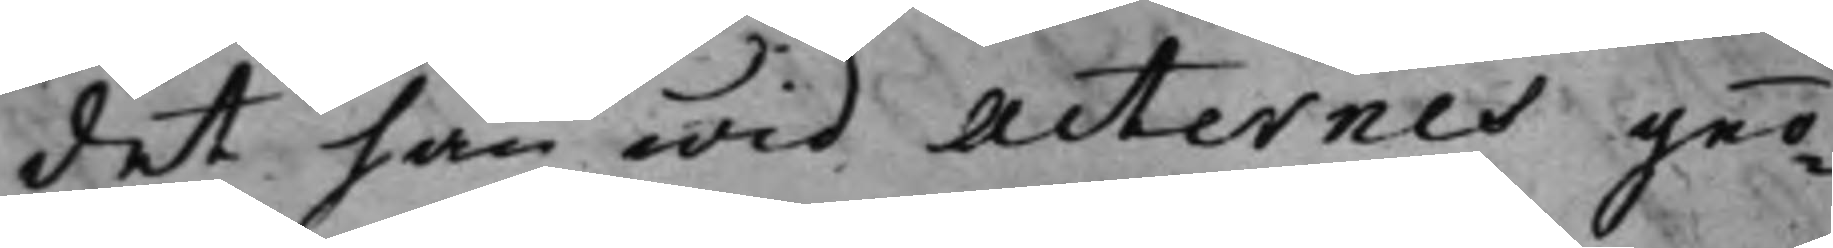det han wid Acternes geo¬
